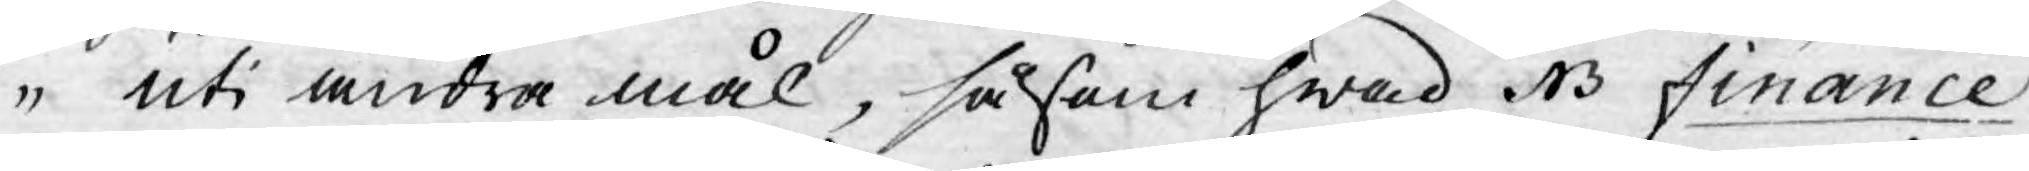uti andra mål, såsom hwad NB Finance
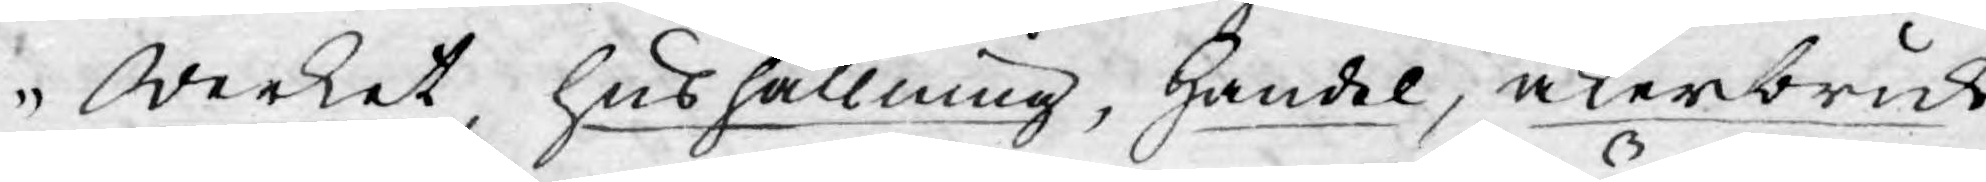Werket, hushållning, Handel, åkerbruk
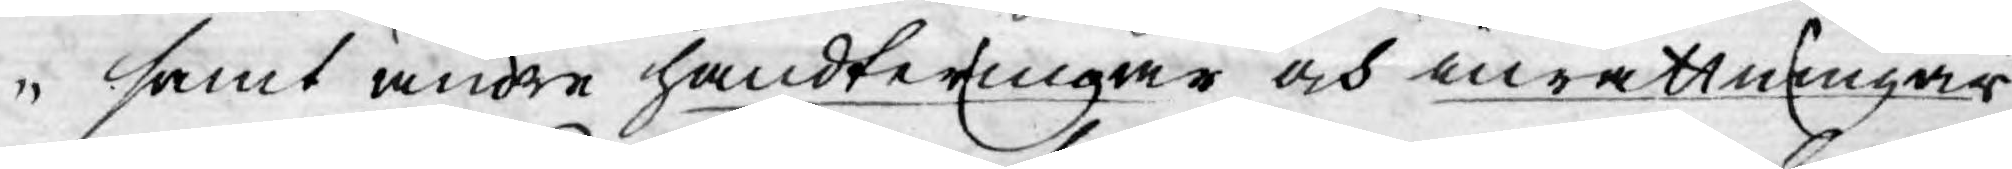samt andre handteringar och inrättningar
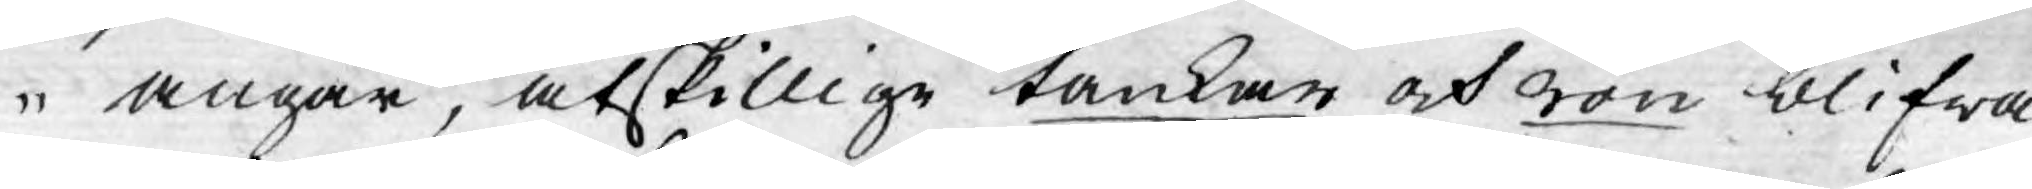angår, åtskillige tankar och rön blifwa
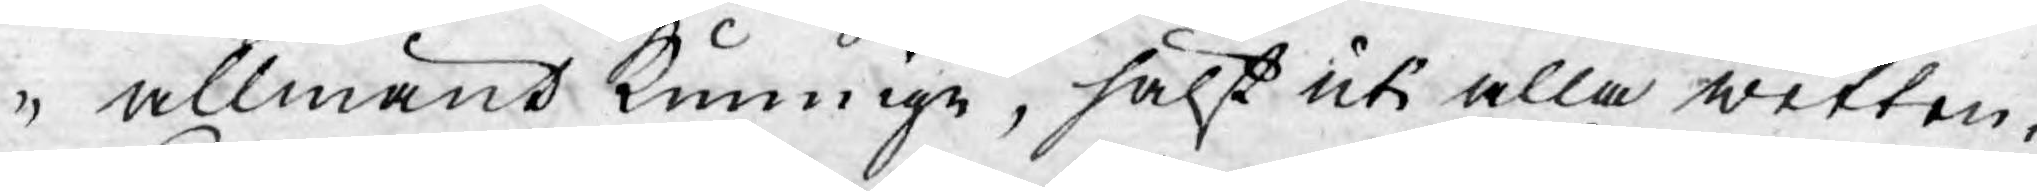allmänt kunnige, hälst uti alla wetten¬
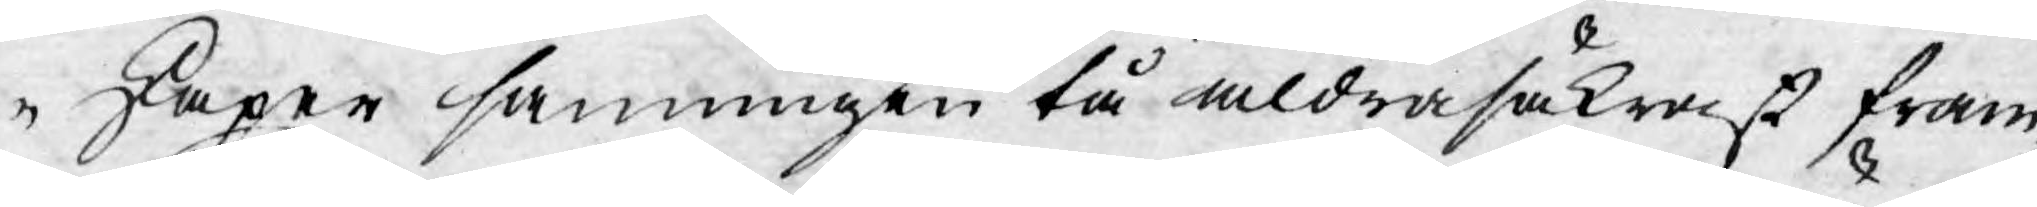skaper sanningen tå aldrasäkrast fram¬
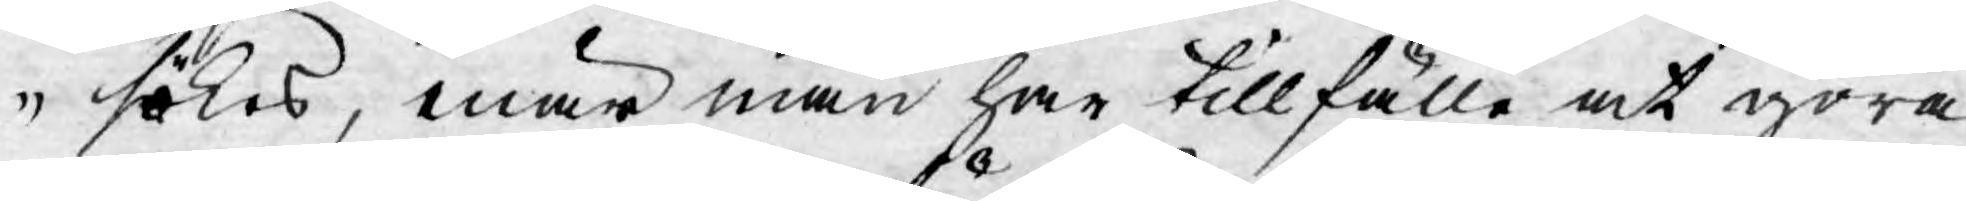sökes, enär man har tillfälle at göra
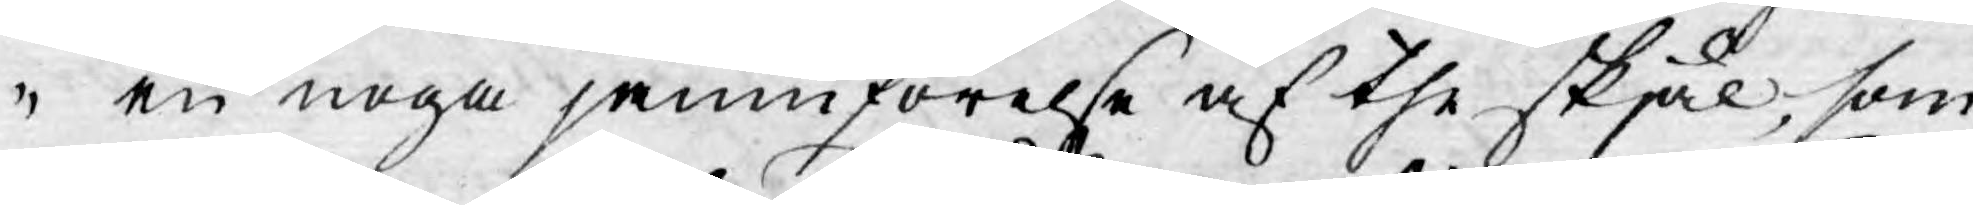en noga jämnförelse af the skjäl, som
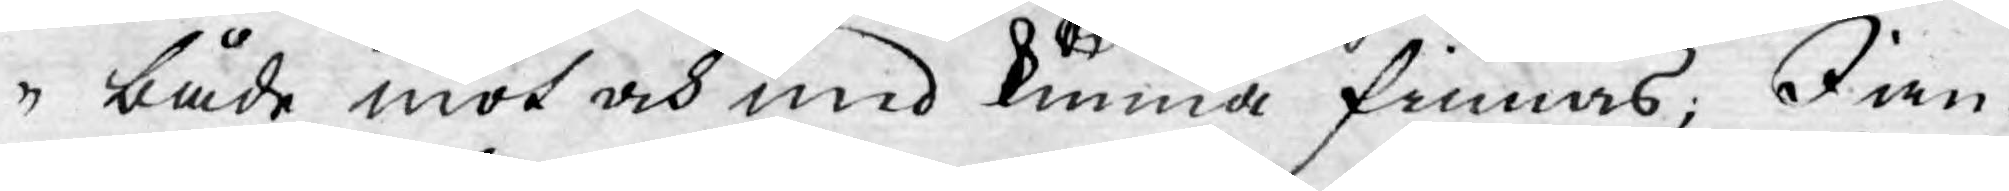både mot och med kunnde finnas; I an
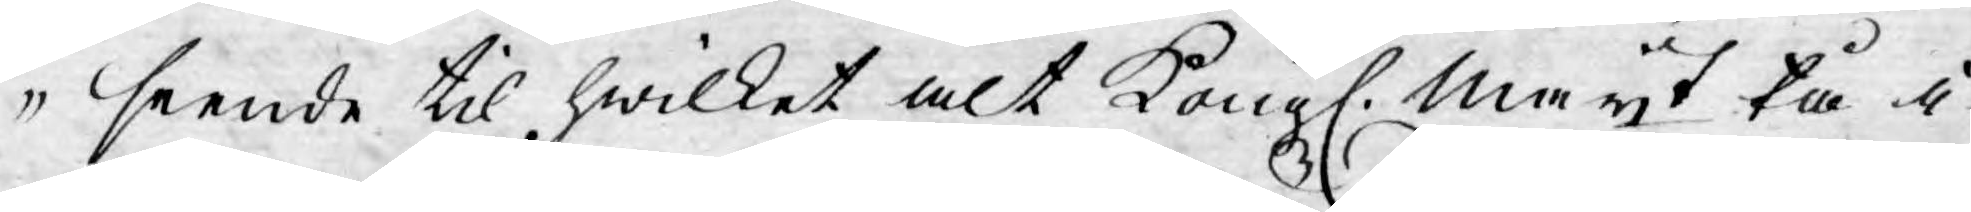seende til hwilket alt Kongl. Mayt tå i
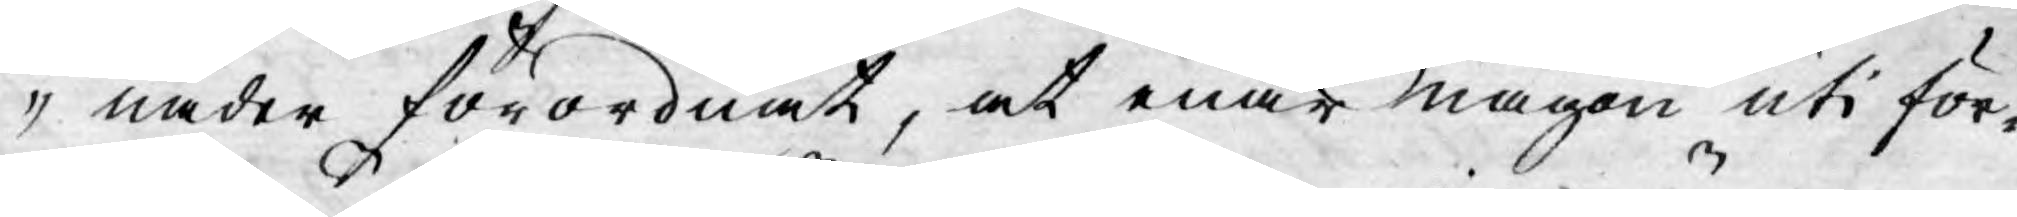nåder förordnat, at enär någon uti för¬
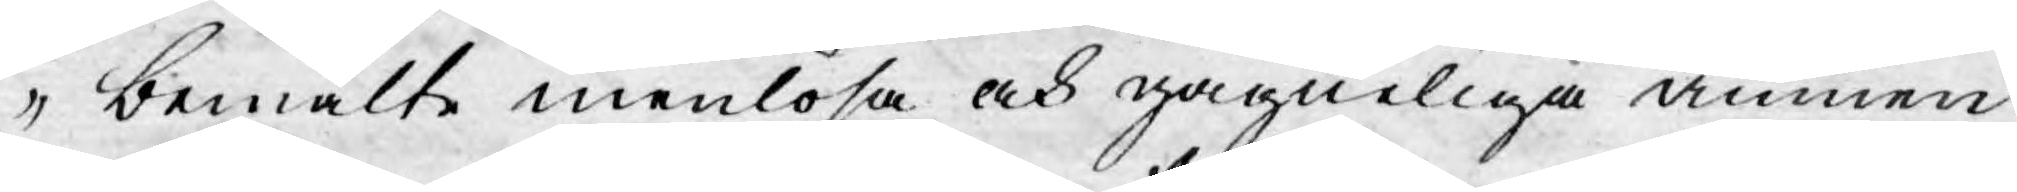bemälte menlösa och gagneliga ämnen
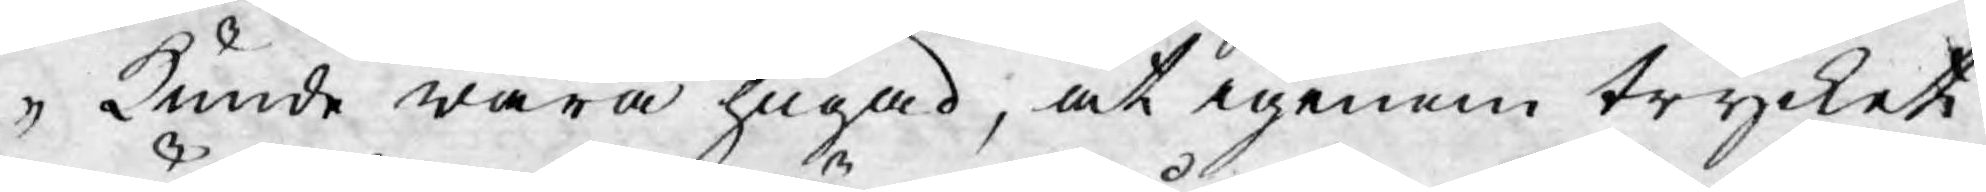kunde wara hugad, at igenom trycket
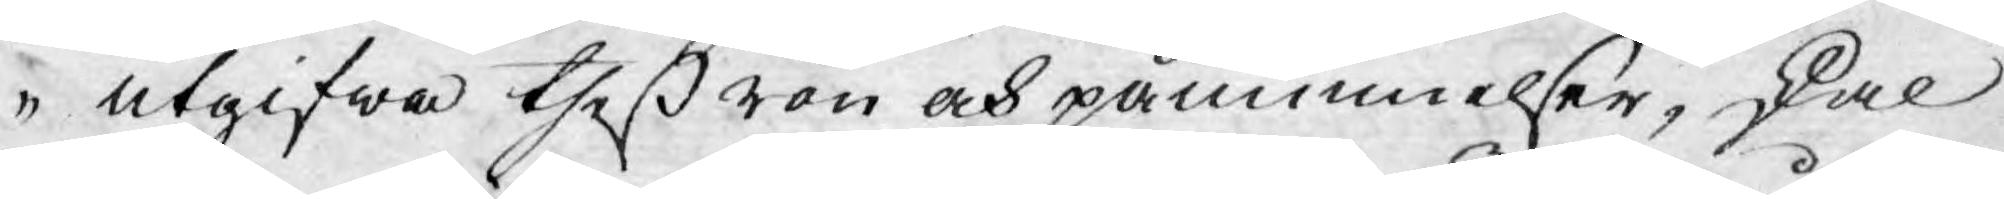utgifwa theß rön och påminnelser, skal
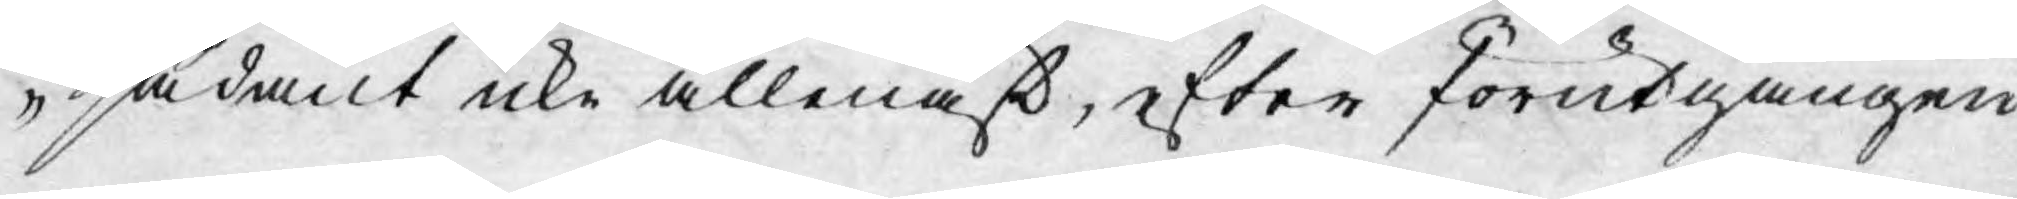sådant icke allenast, efter förutgången
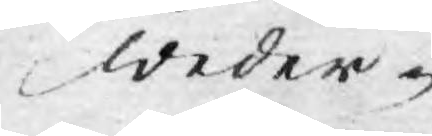weder-
